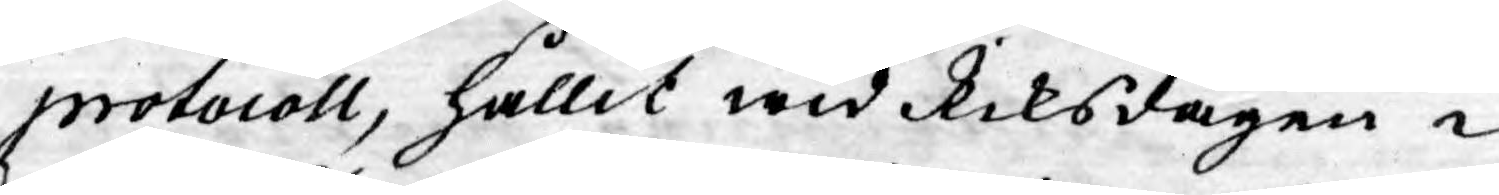protocoll, hållit wid Riksdagen i
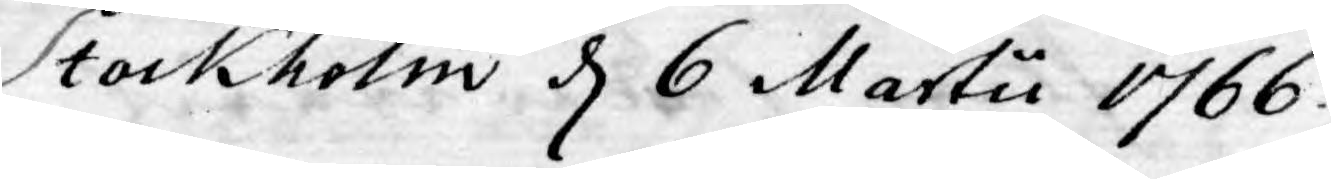Stockholm d 6 Martii 1766.
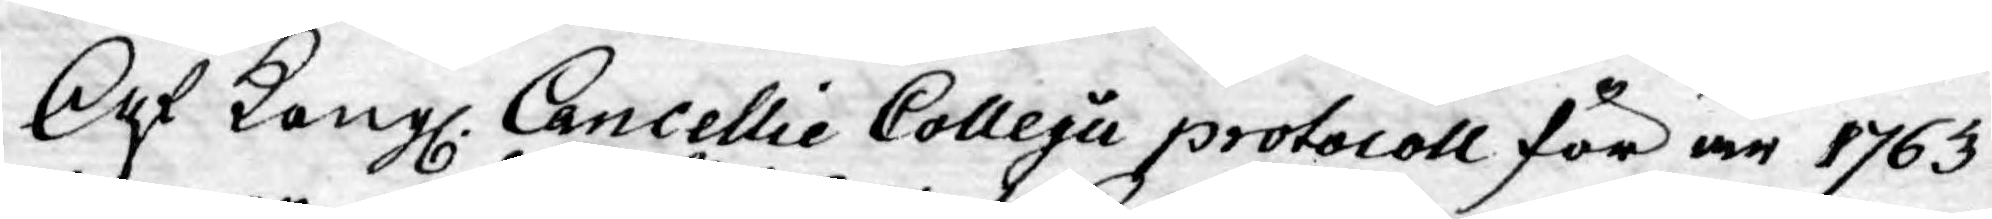Af Kongl. Cancellie Collegii protocoll för år 1763
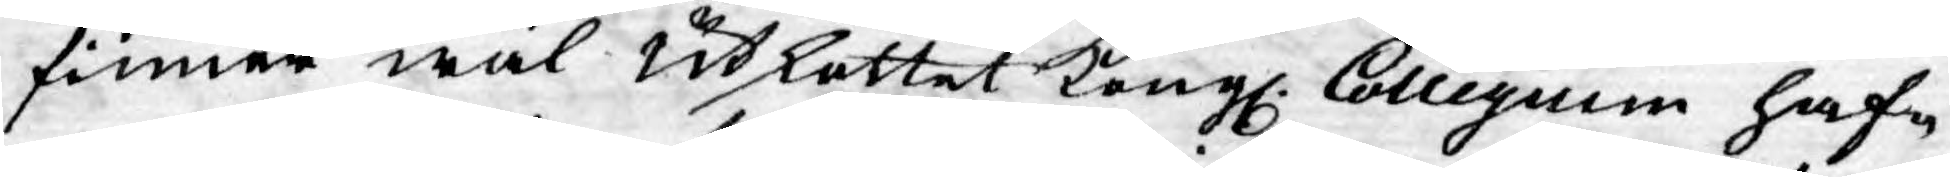finner wäl Utkottet Kongl. Collegium haf¬
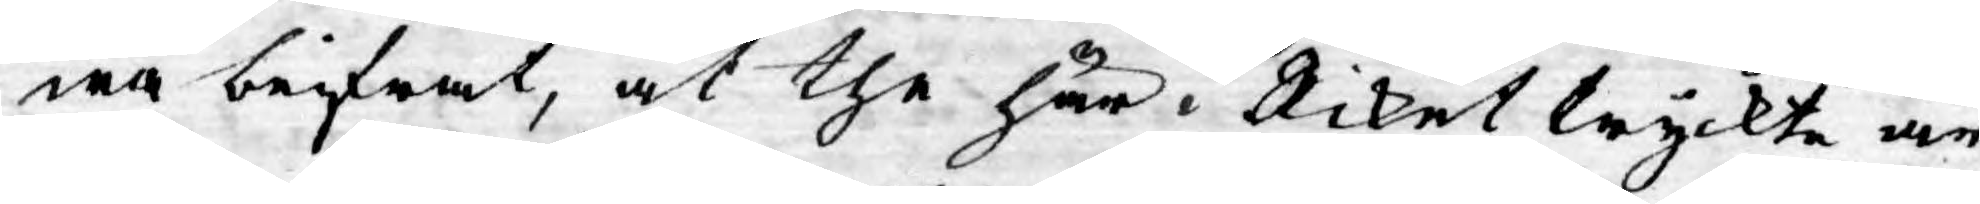wa beifrat, at the här i Riket tryckte ar¬
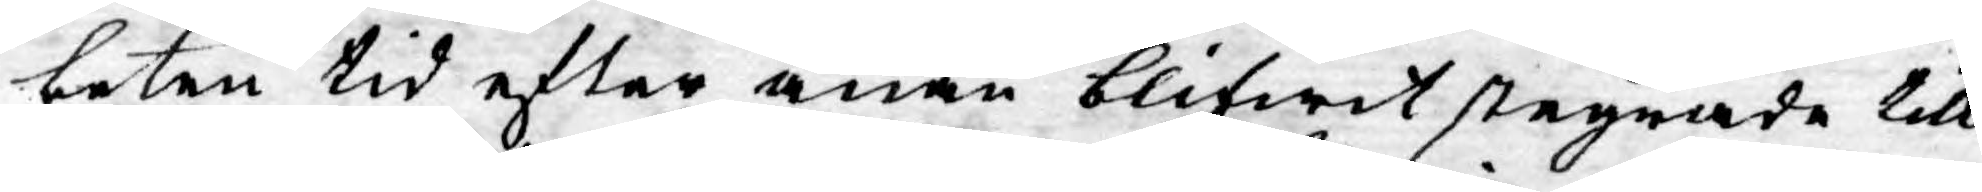beten tid efter anan blifwit stegrade till
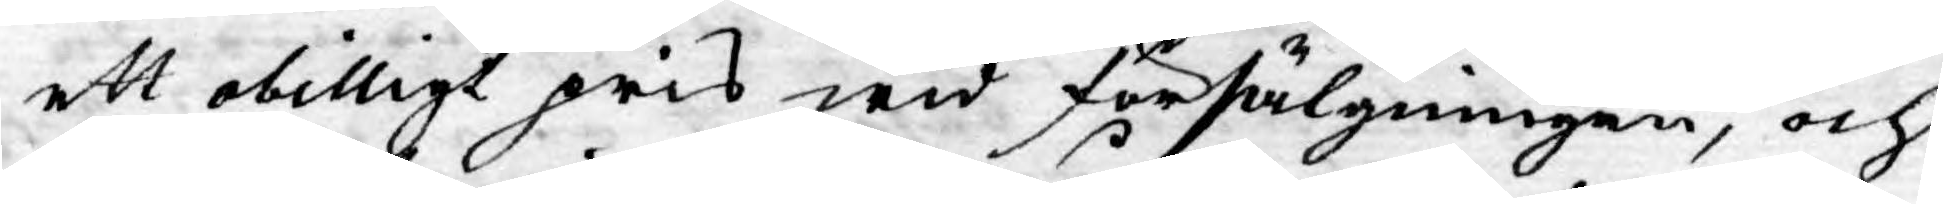ett obilligt pris wid försälgningen, och
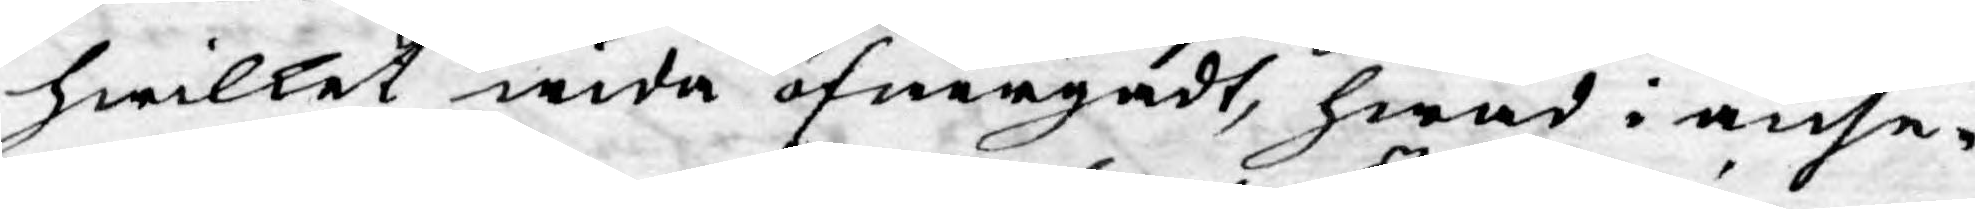hwilket wida öfwergådt, hwad i anse¬
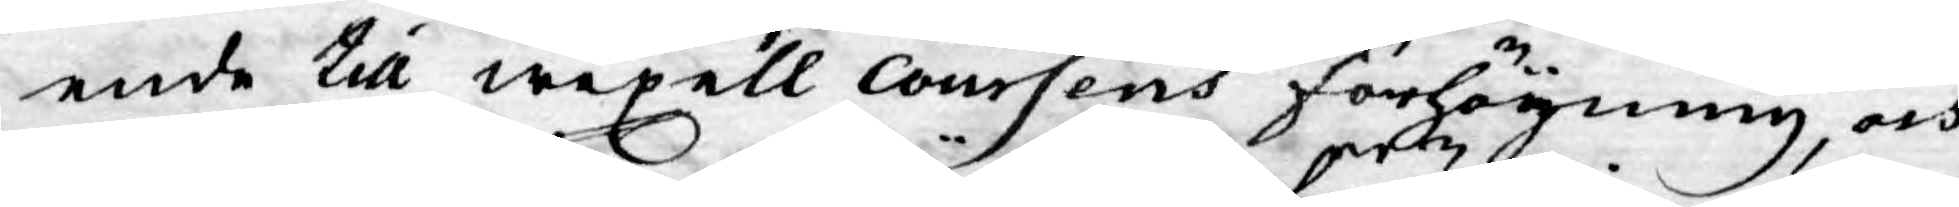ende till wexell Coursens förhöyning, och
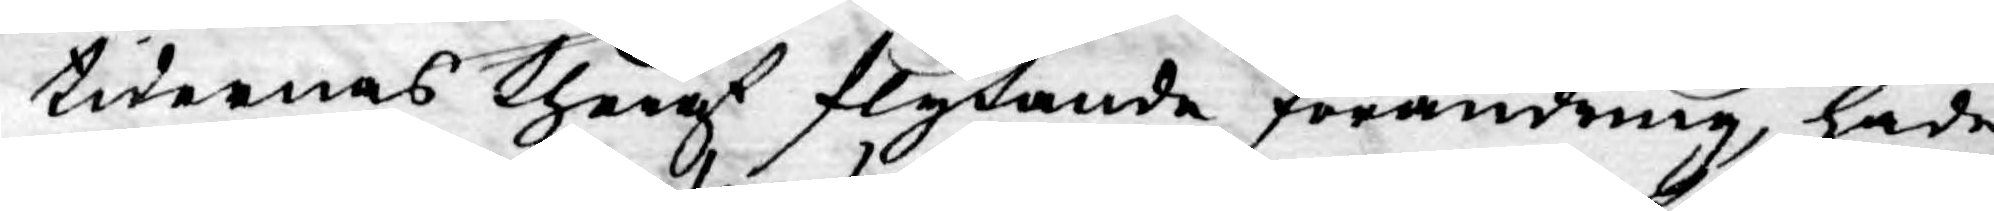tidernas theraf flytande förändring, hade
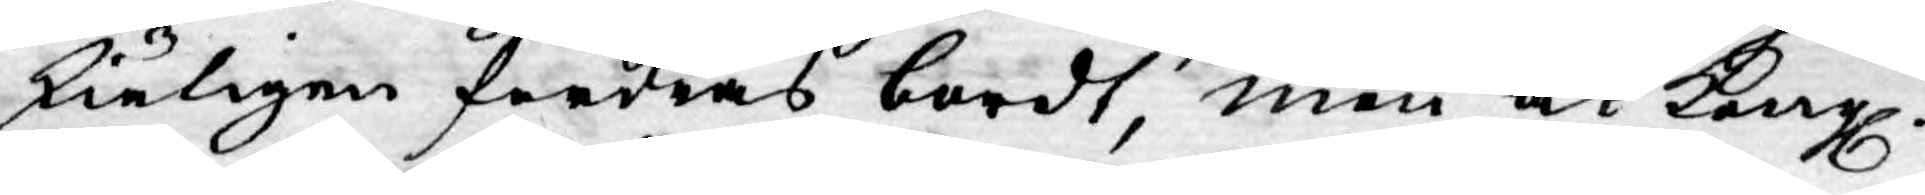skiäligen fordras bordt, men at Kongl.
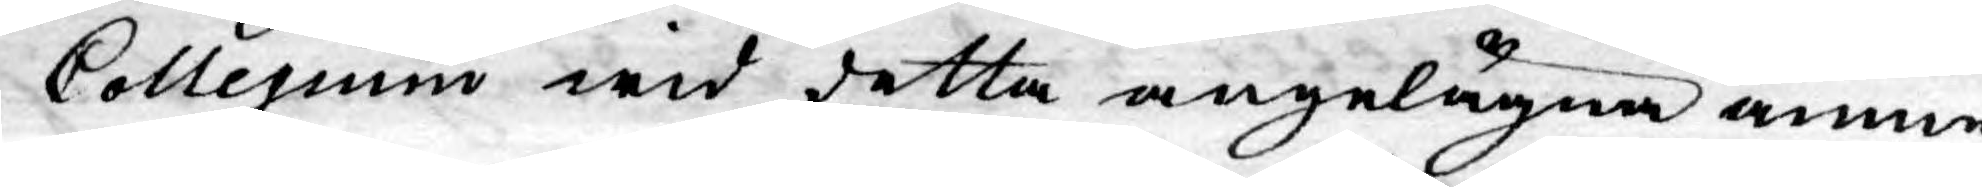Collegium wid detta angelägna ämne
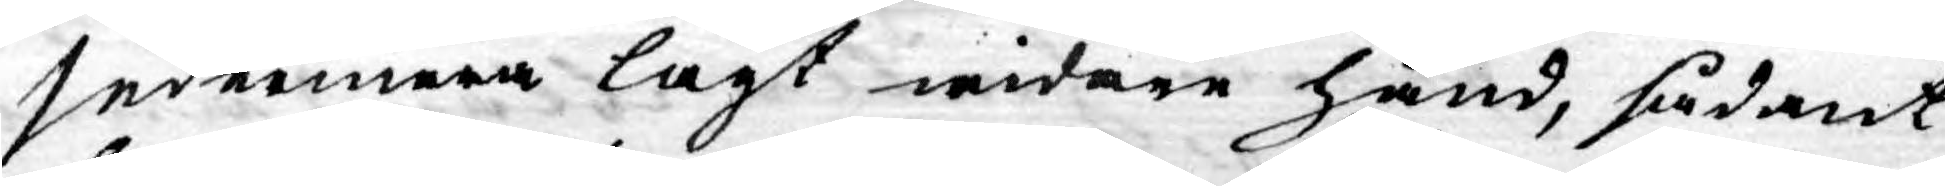sedermera lagt widare hand, sådant
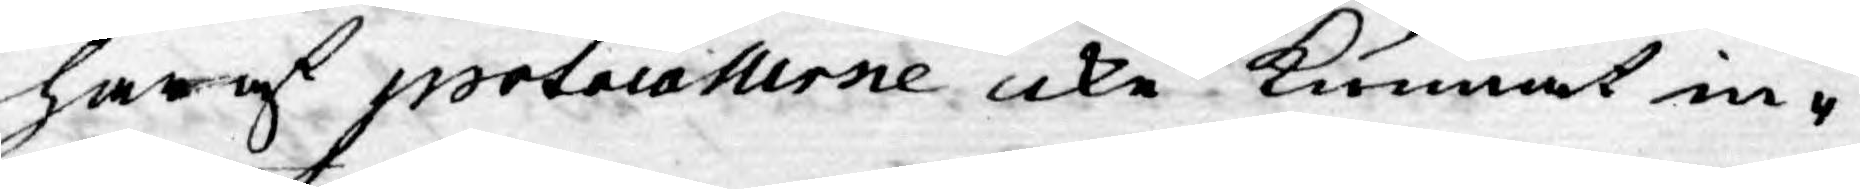har af potocollerne icke kunnat in¬
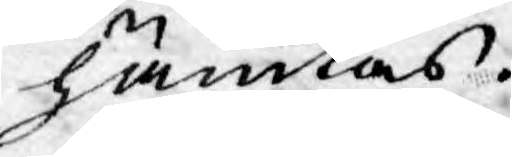hämtas.
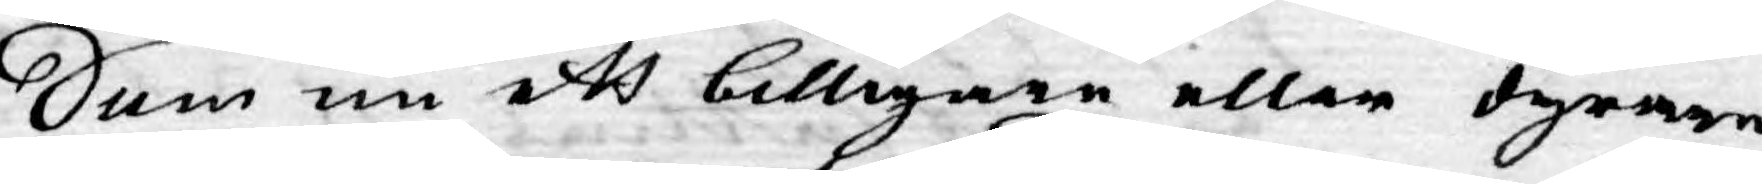Som nu ett billigare eller dyrare
